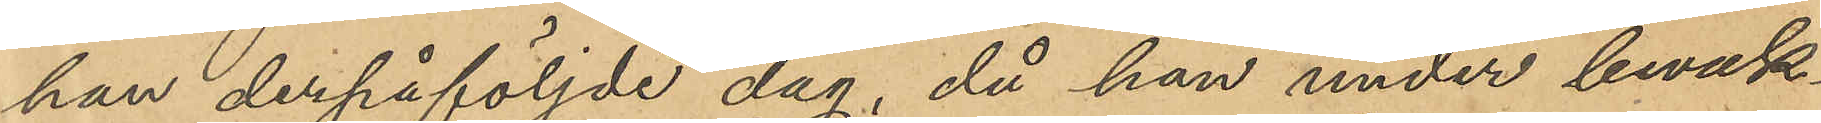han derpåföljde dag, då han under bevak¬
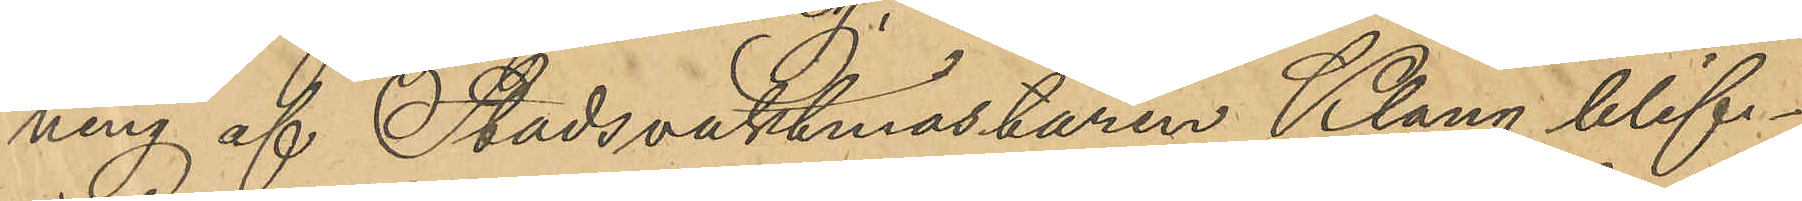ning af Stadsvaktmästaren Klang blif¬
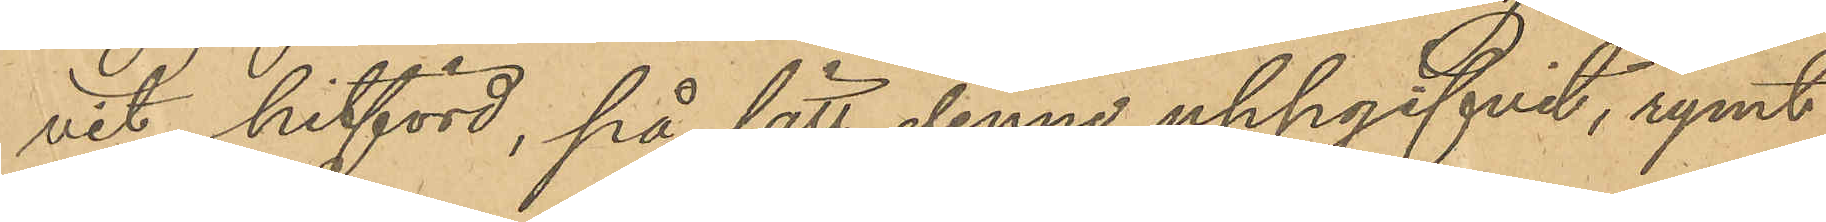vit hitförd, på sätt denne uppgifvit, rymt
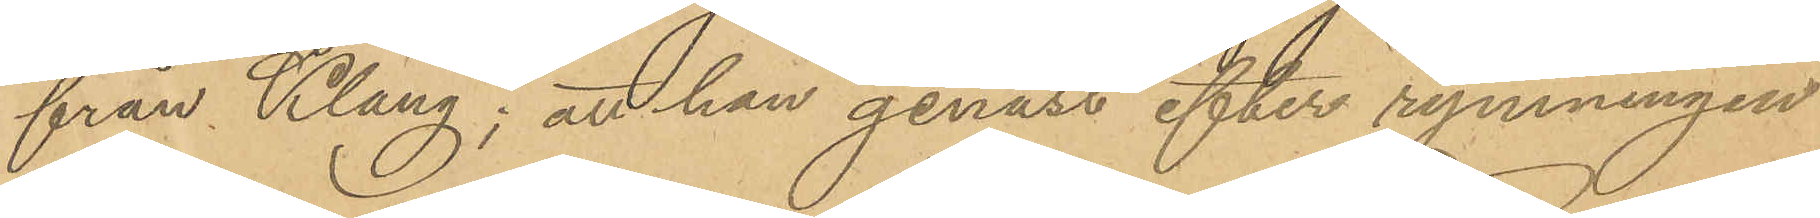från Klang; att han genast efter rymningen
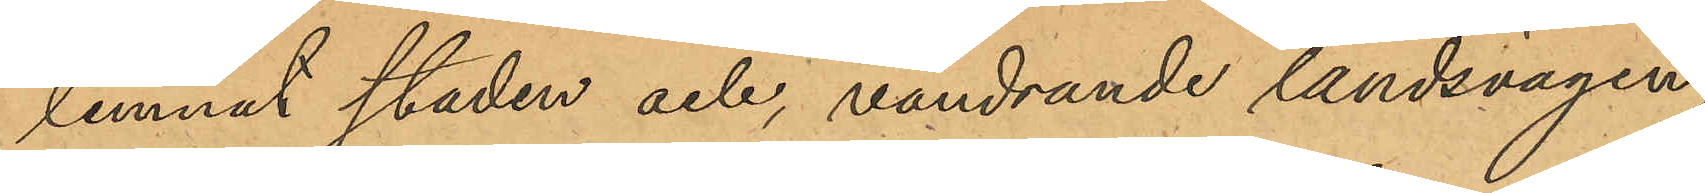lemnat staden och, vandrande landsvägen
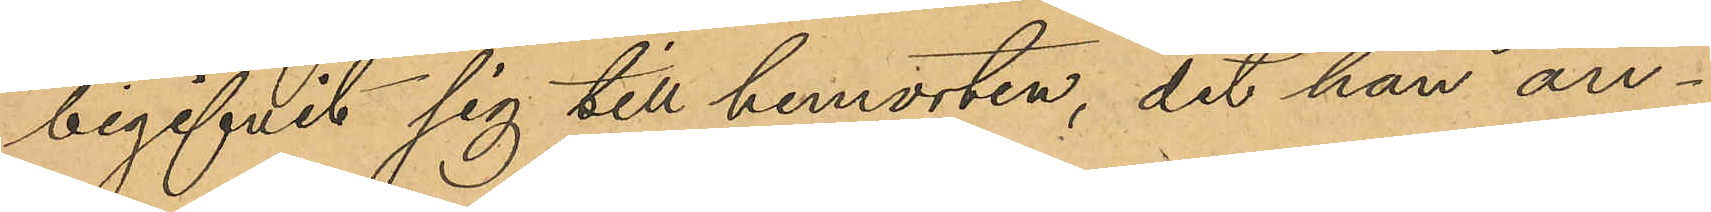begifvit sig till hemorten, dit han an¬
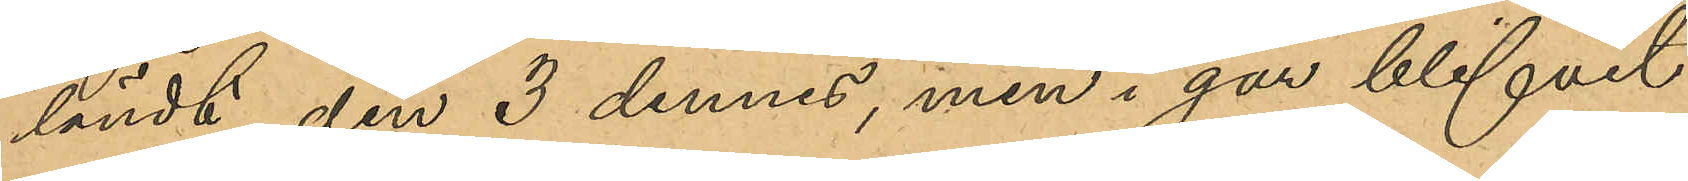ländt den 3 dennes, men i går blifvit
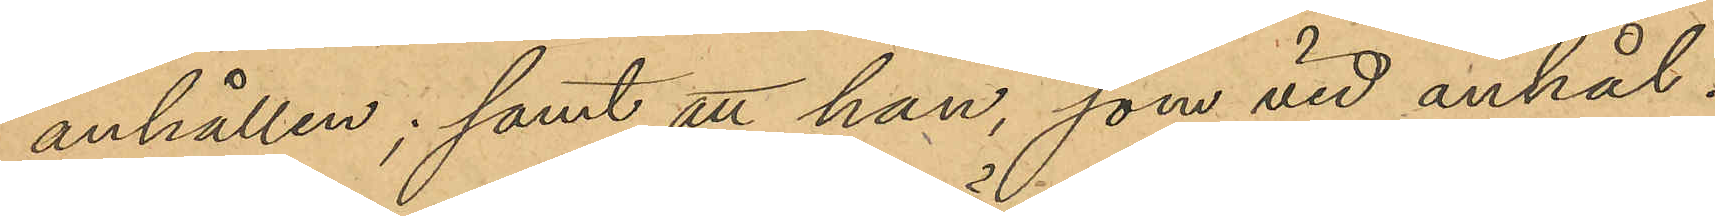anhållen; samt att han, som vid anhål¬
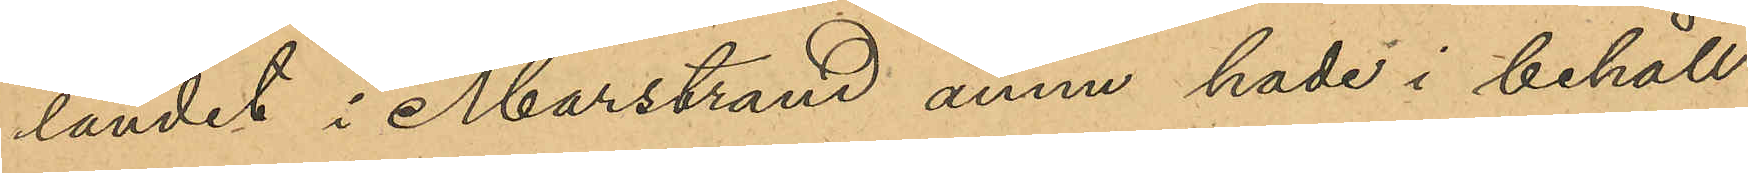landet i Marstrand ännu hade i behåll
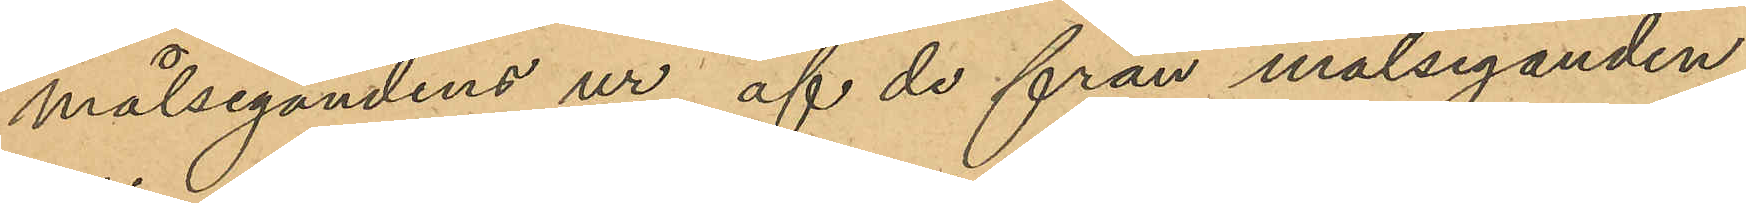målsegandens ur, af de från målseganden
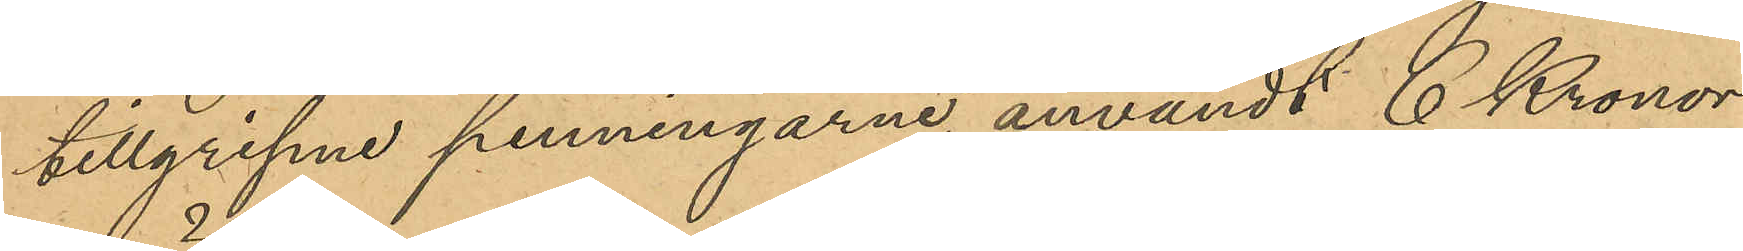tillgripne penningarne användt 6 Kronor
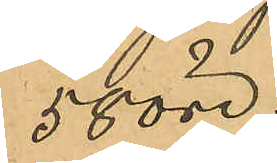58 öre.
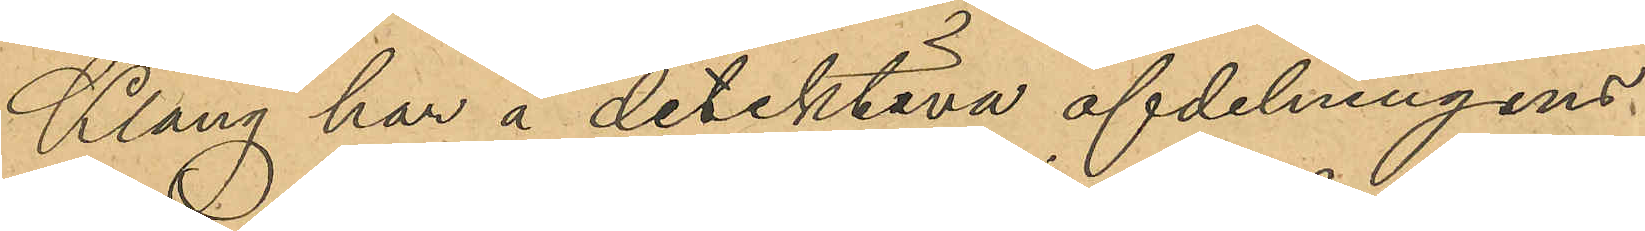Klang har å detektiva afdelningens
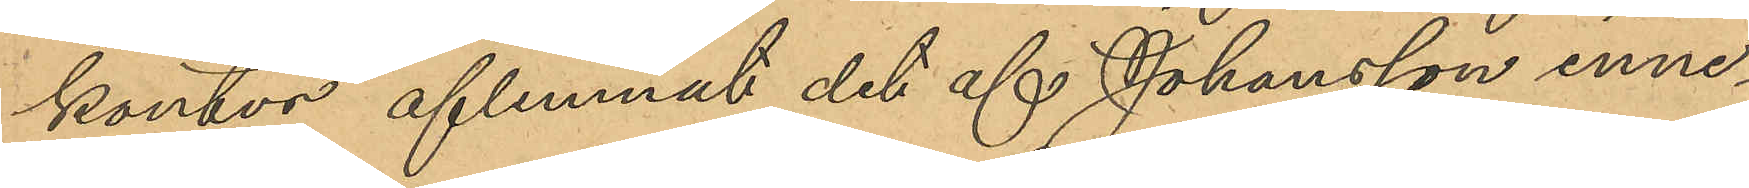kontor aflemnat det af Johansson inne¬
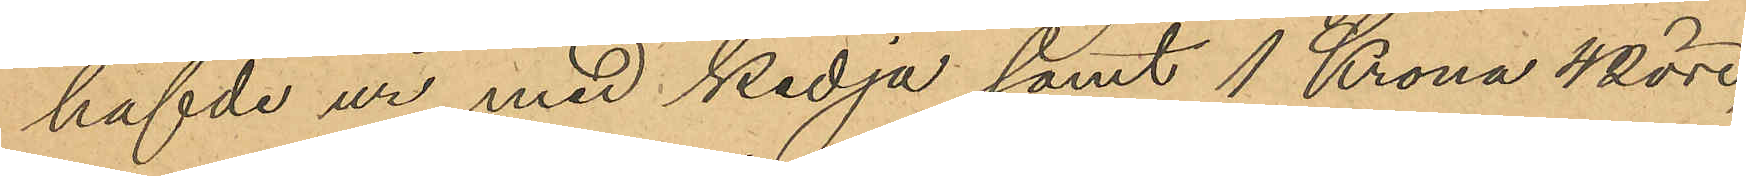hafde ur med kedja samt 1 Krona 42 öre,
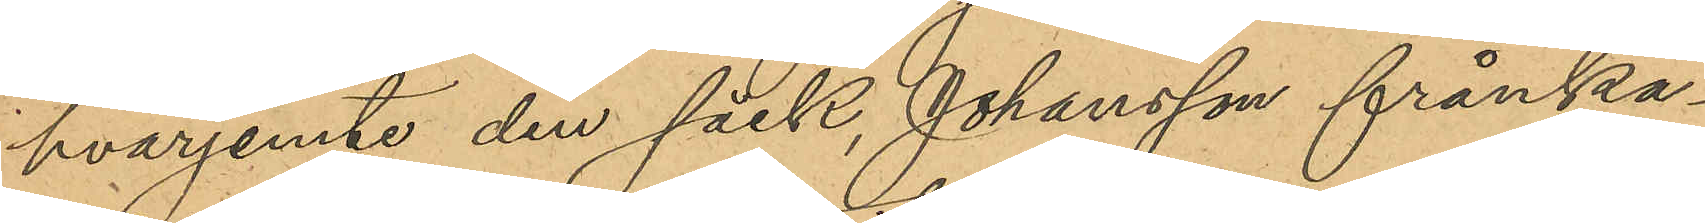hvarjemte den säck, Johansson frånka¬
